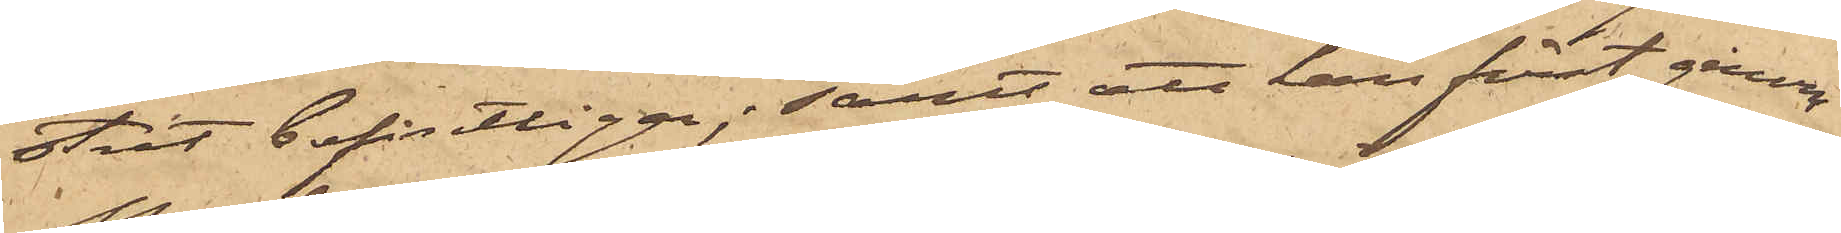stret befintliga; samt att han först genom
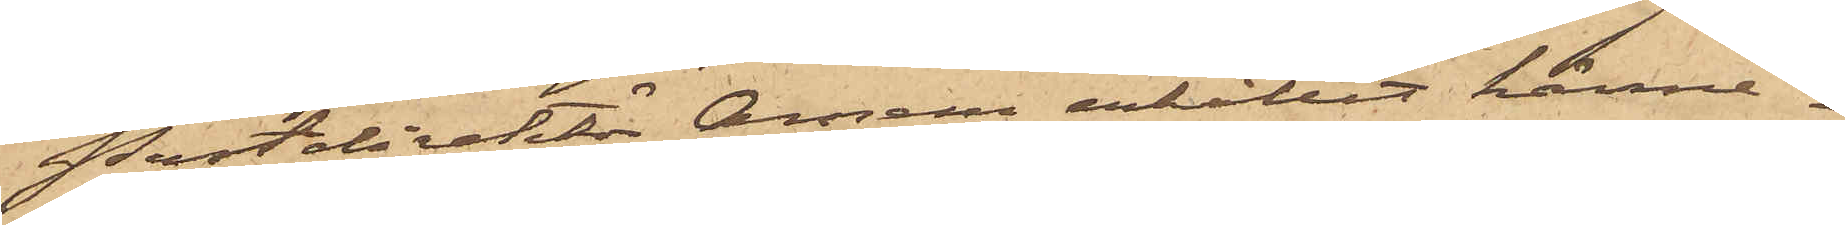Postdirektör Améen erhållit känne¬
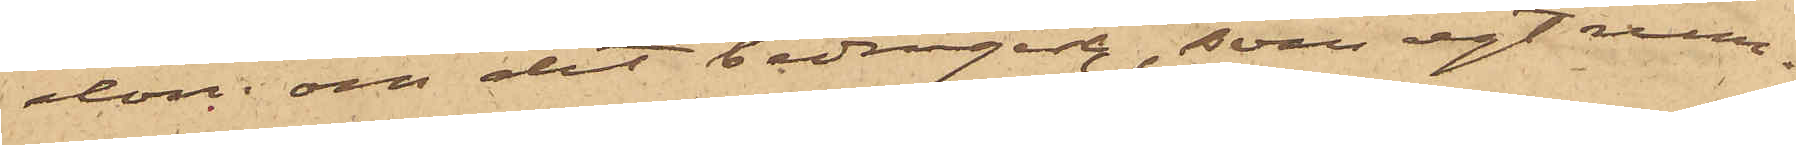dom om det bedrägeri, som egt rum.
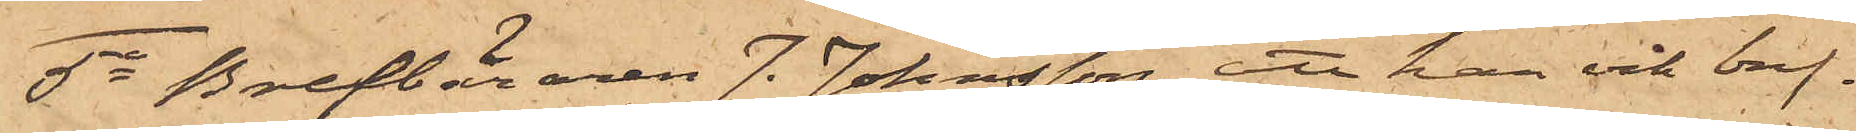5o Brefbäraren J. Johansson, att han och bref¬
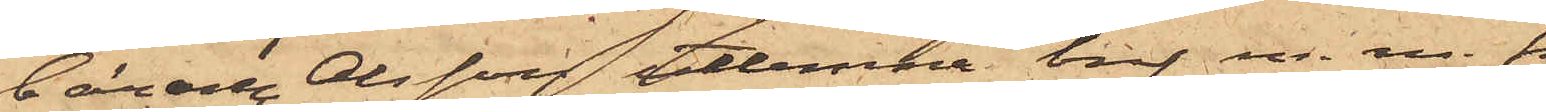bäraren Olsson utlemna bref m.m. från
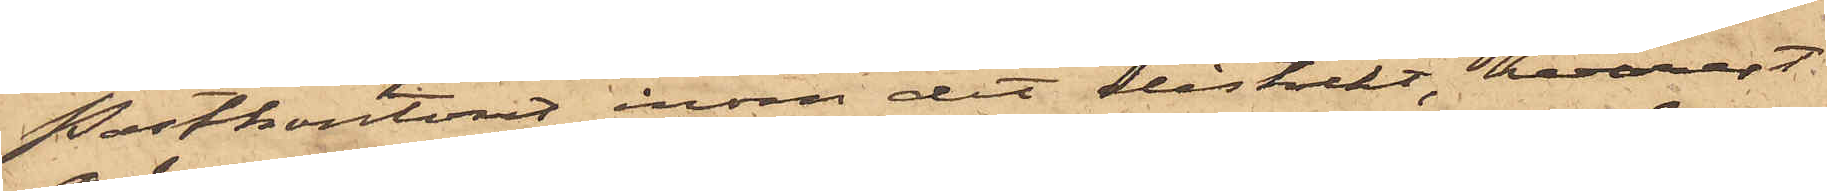Postkontoret inom det distrikt, hvarest
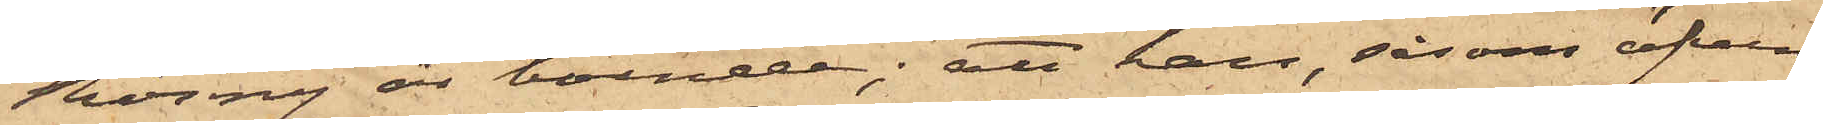Röing är boende; att han, såsom äfven
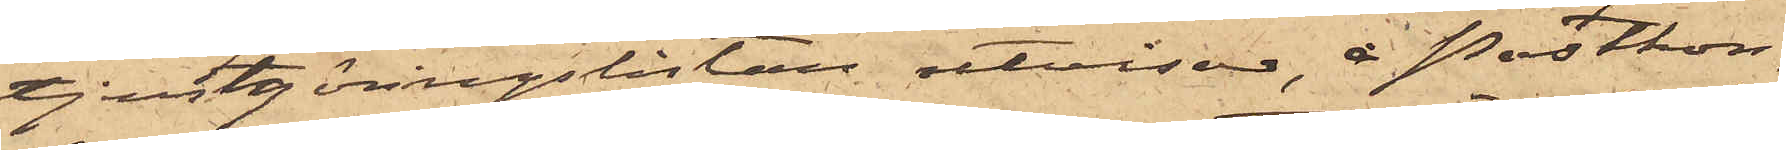tjenstgöringslistan utvisar, å Postkon¬
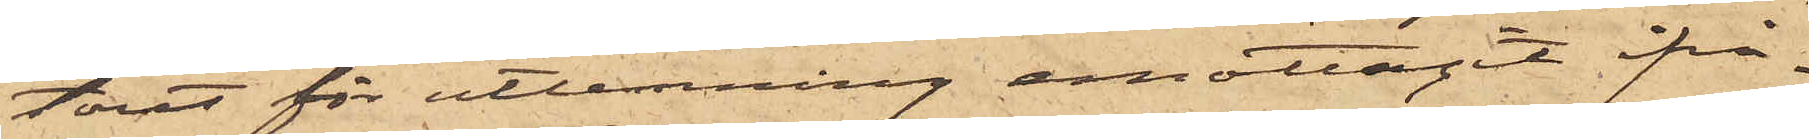toret för utlemning emottagit ifrå¬
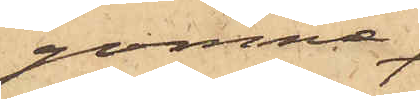gakomne
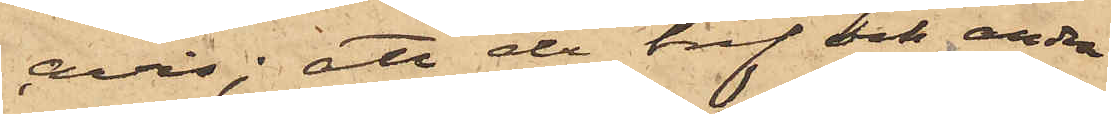avis; att de bref och andra
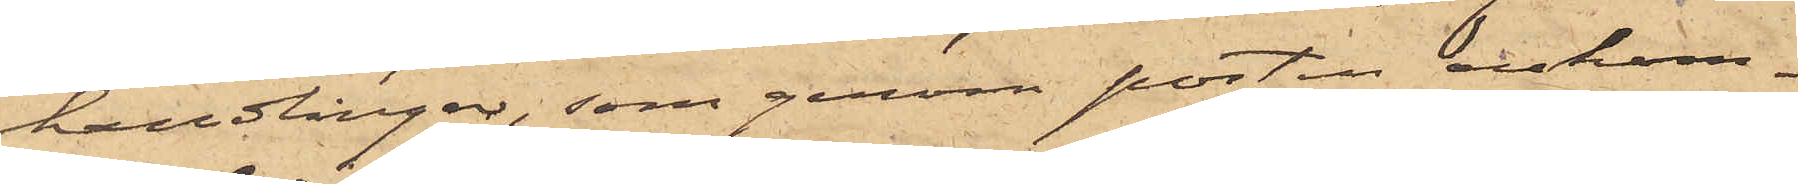handlingar, som genom posten ankom¬
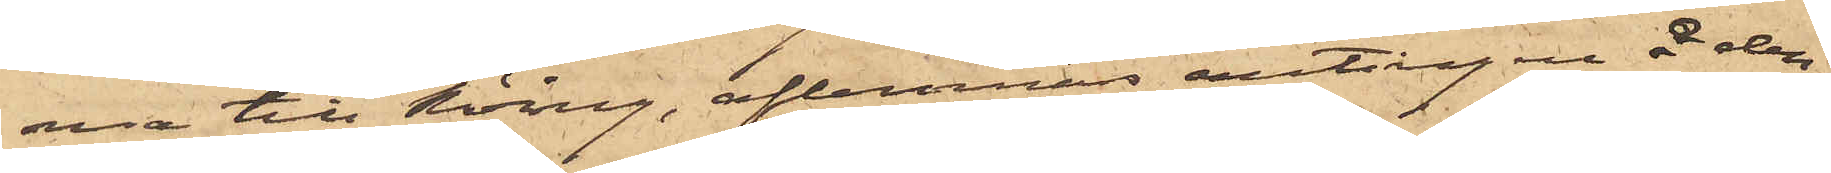ma till Röing, aflemnas antingen å den¬
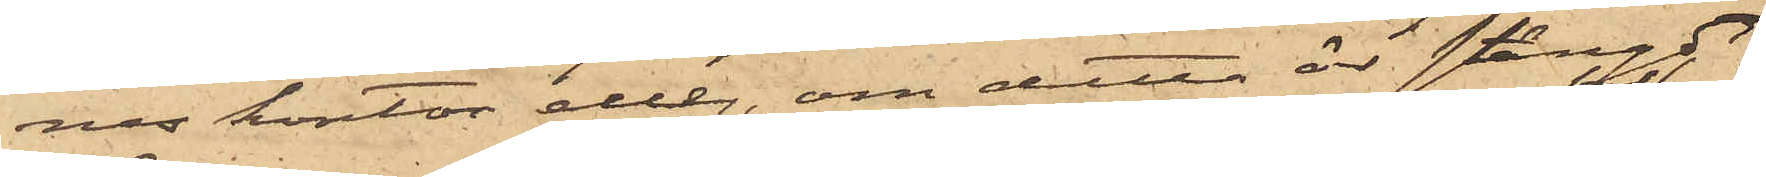nes kontor eller, om detta är stängdt,
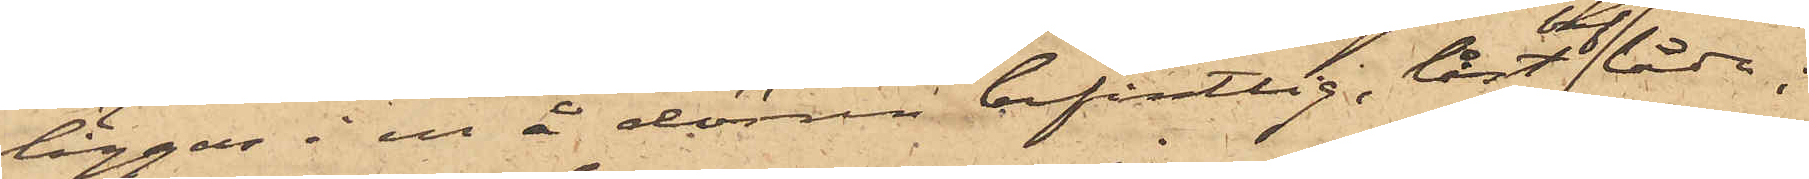läggas i en å dörren befintlig låst breflåda;
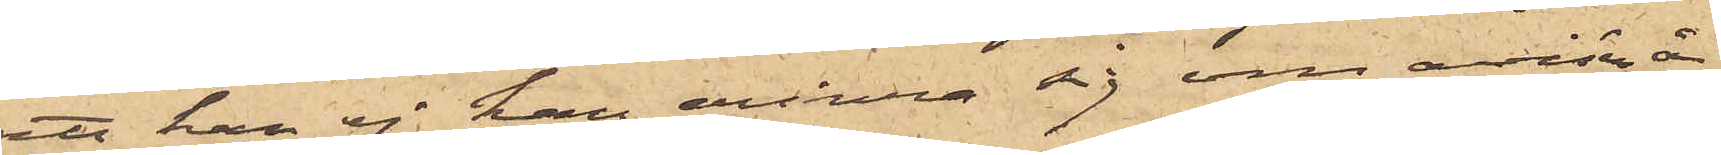att han ej han erinra sig om avisen å
